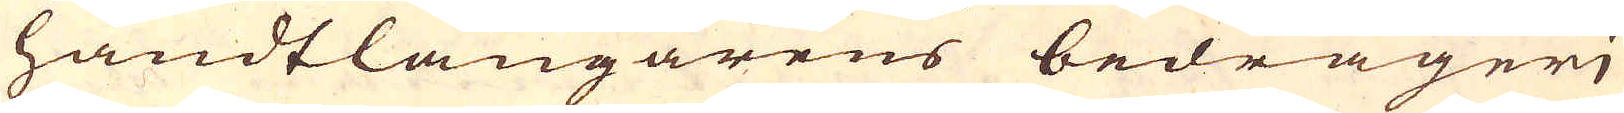handtlangarens bedrägerj
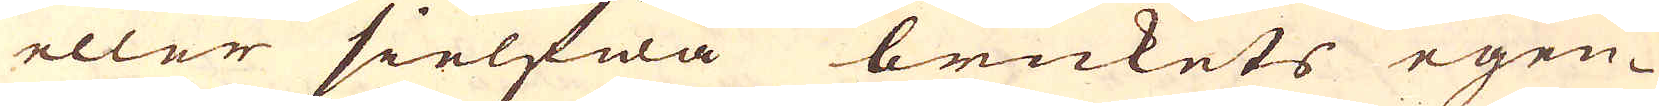eller sielfwa brukets egen-
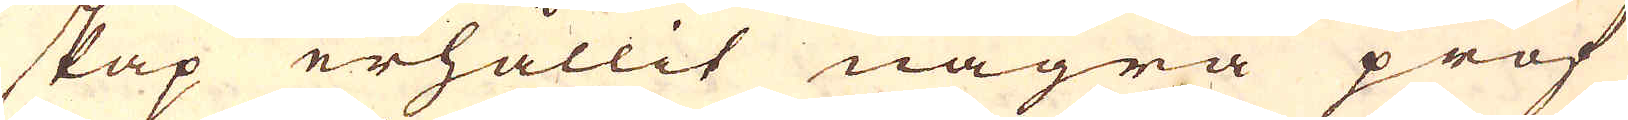skap erhållit några prof
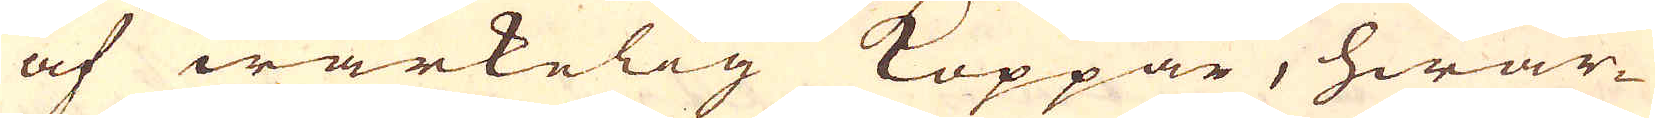af wärkelig Koppar, hwar-
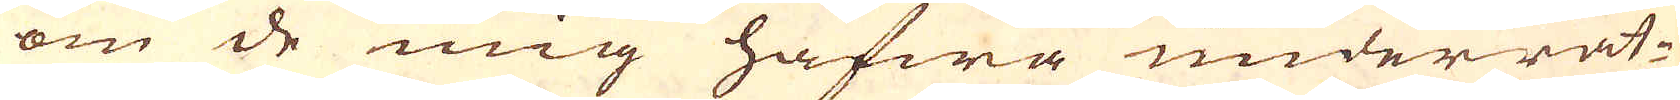om de mig hafwa underrät-
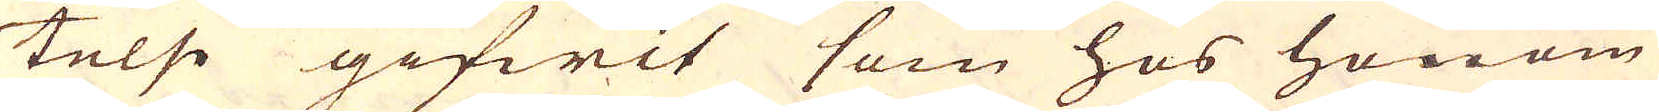telse gifwit som hos honom
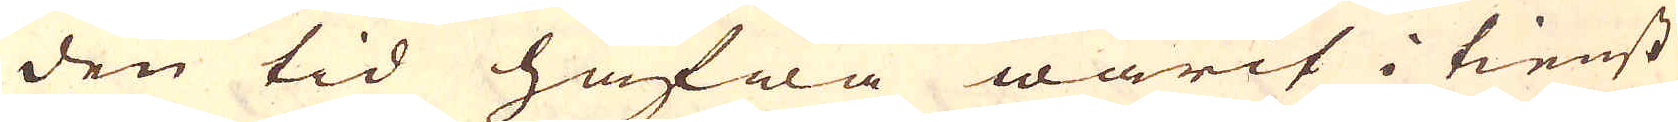den tid hafwa warit i tienst
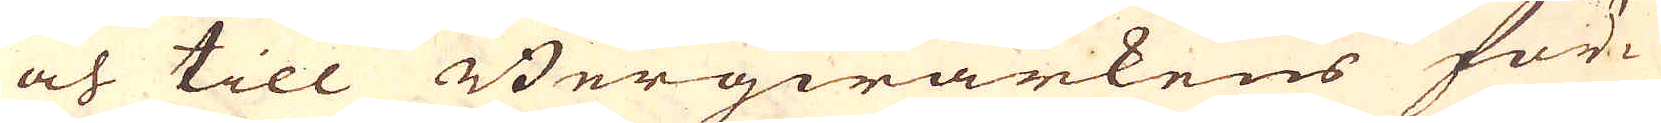och till Bergwärkens för-
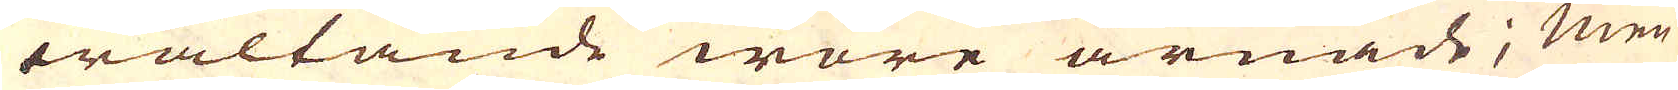waltande wore ärnade; men
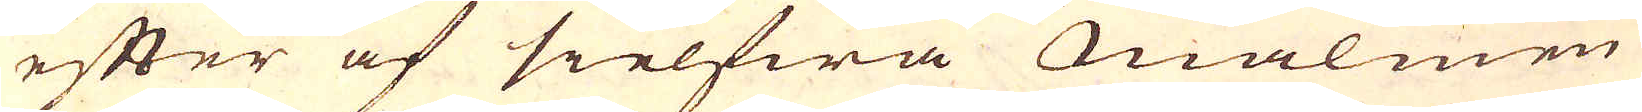efter af sielfwa Malmen
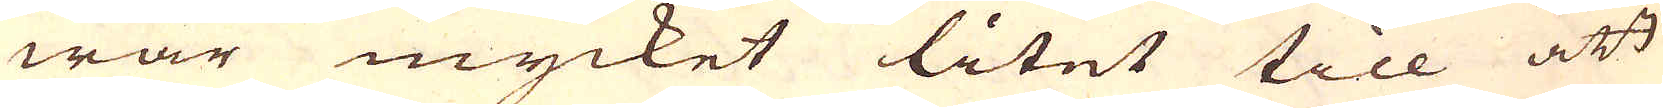war mycket litet till att
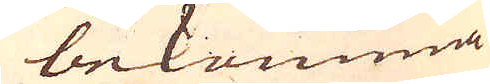bekomma
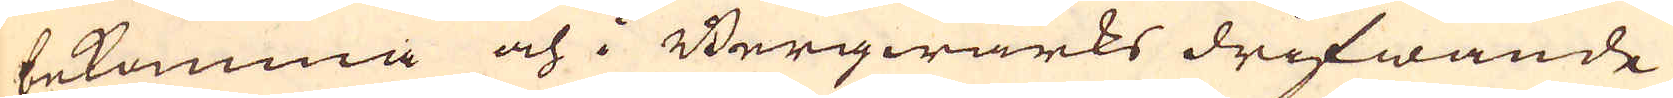bekomma och i Bergwärks drifwande
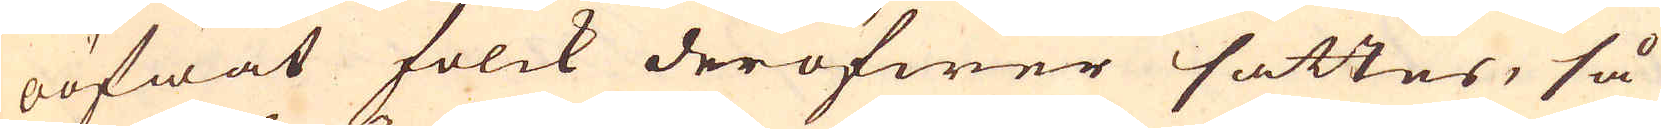oöfwat folck deröfwer sattes, så
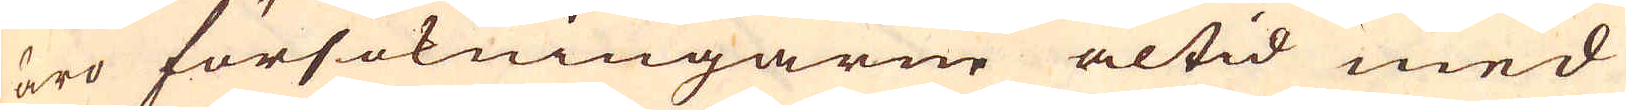äro försökningarne altid med
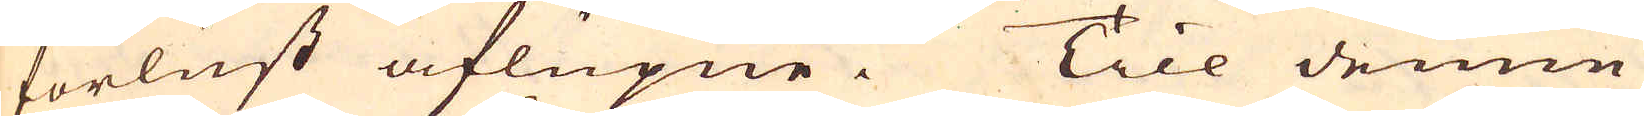förlust aflupne. Till denne
